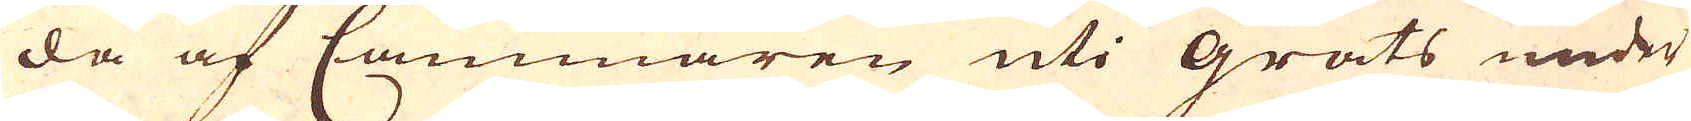da af Cammaren uti Gräts under
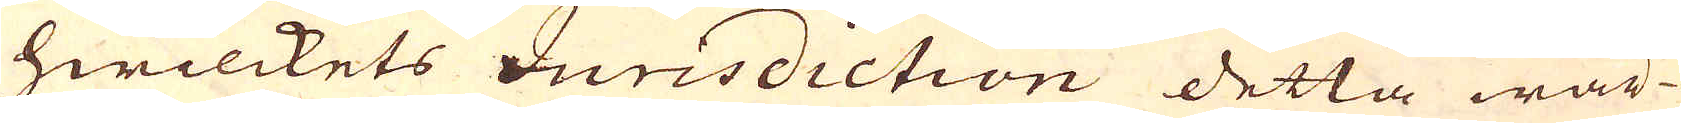hwilckets Jurisdiction detta wär-
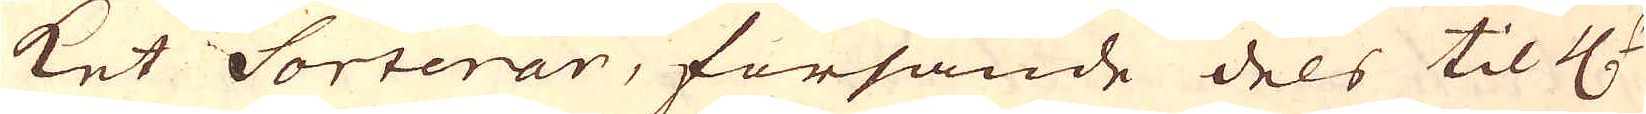ket Sorterar, försände dels til H:r
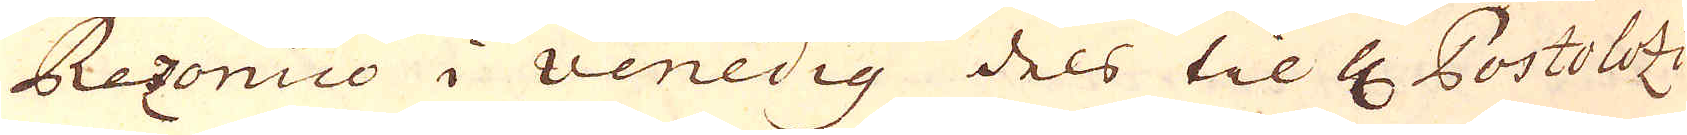Rezonico i Venedig dels til H Postolozi
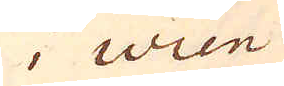i Wien
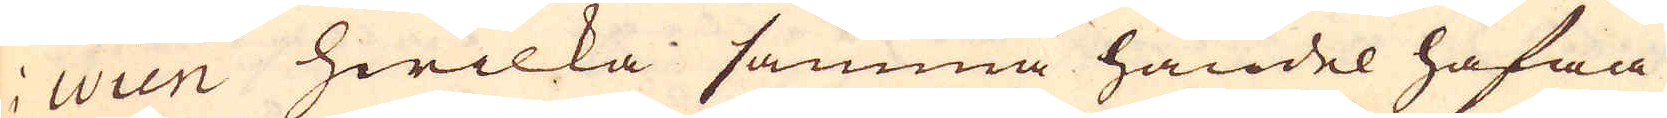i Wien hwilka samma handel hafwa
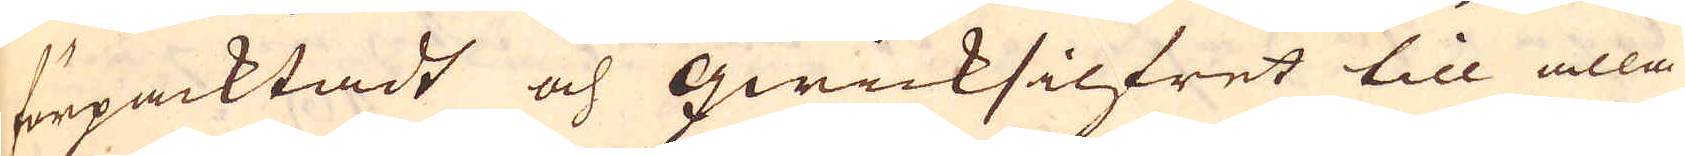förpacktadt och qwicksilfret till alla
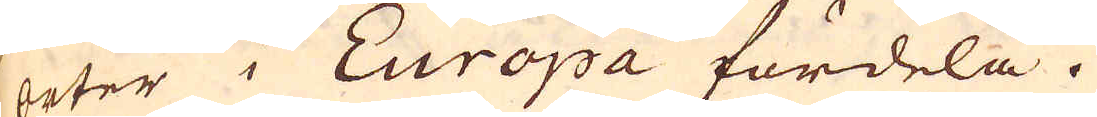orter i Europa fördela.
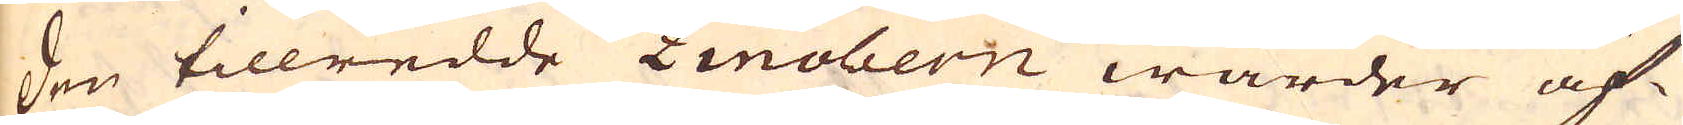Den tillredde Zinobern warder äf-
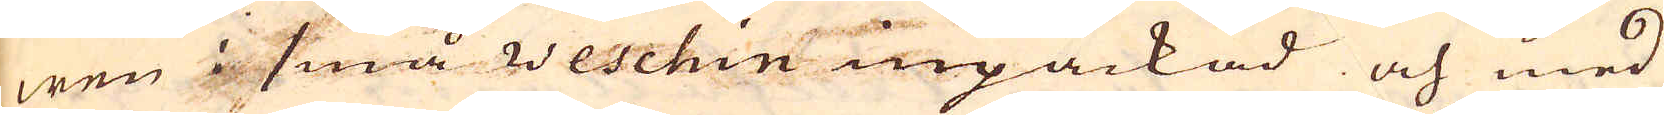wen i små weschin inpackad och med
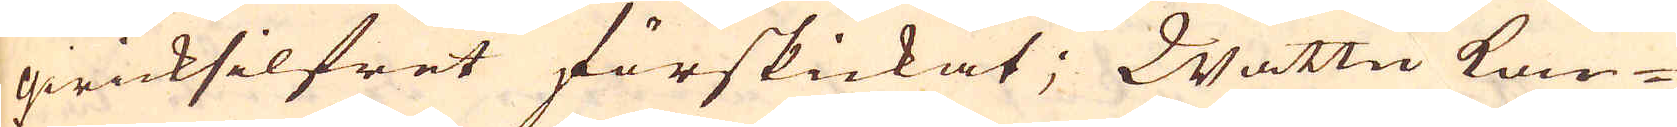qwicksilfret förskickat; Wattu kon-
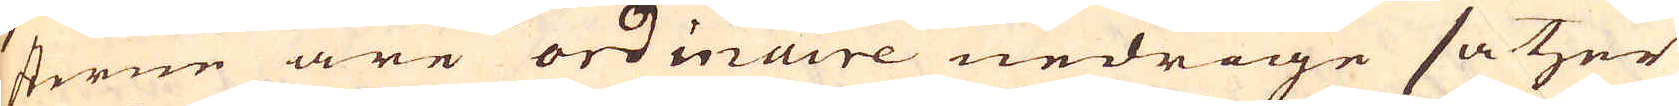sterne äre ordinaire nedrige satzer
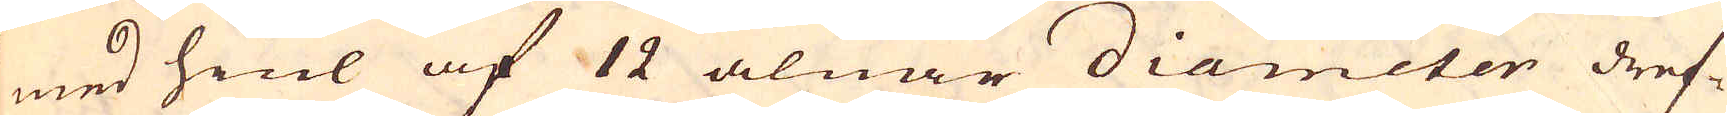med hiul af 12 alnar diameter dref-
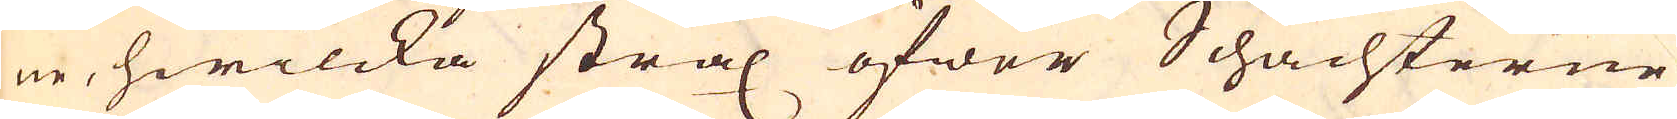ne, hwilcka strax öfwer Schachterne
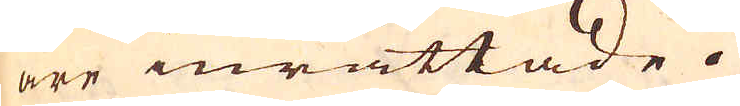äre inrättade.
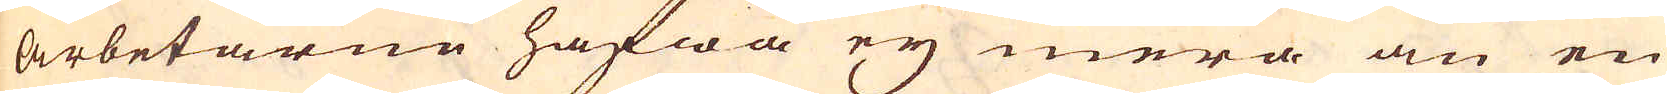Arbetarne hafwa ey mera än en
